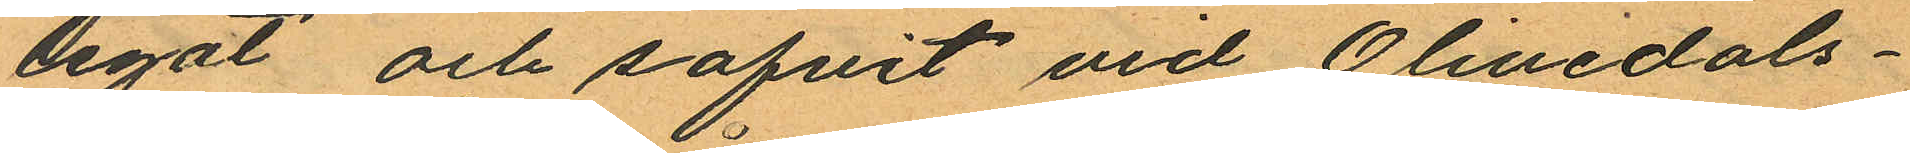legat och sofvit vid Olivedals¬
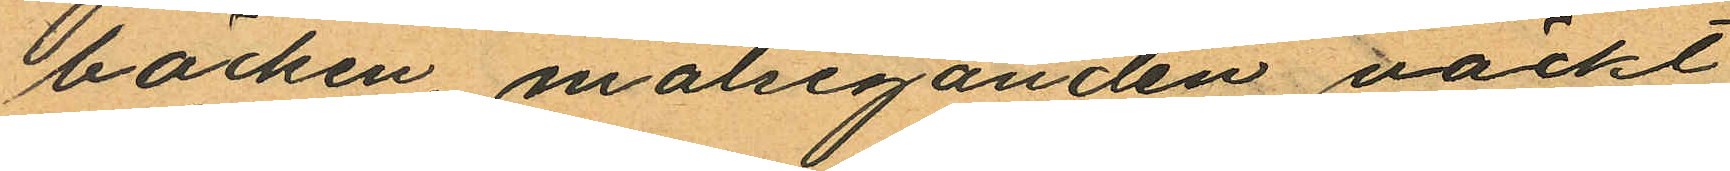bäcken, målseganden väckt
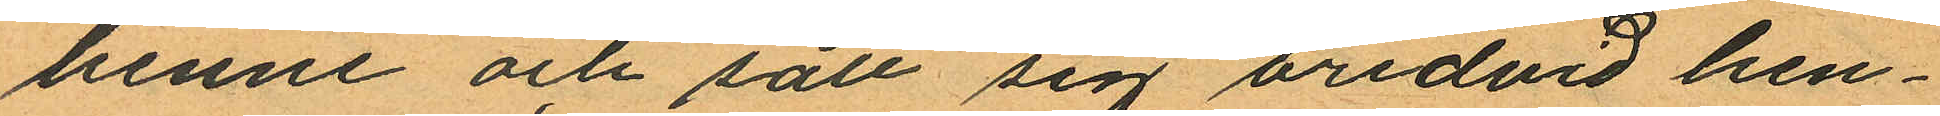henne och satt sin bredvid hen¬
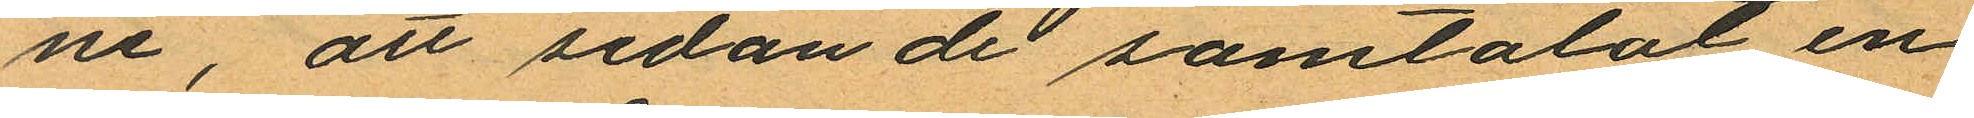ne, att sedan de samtalat en
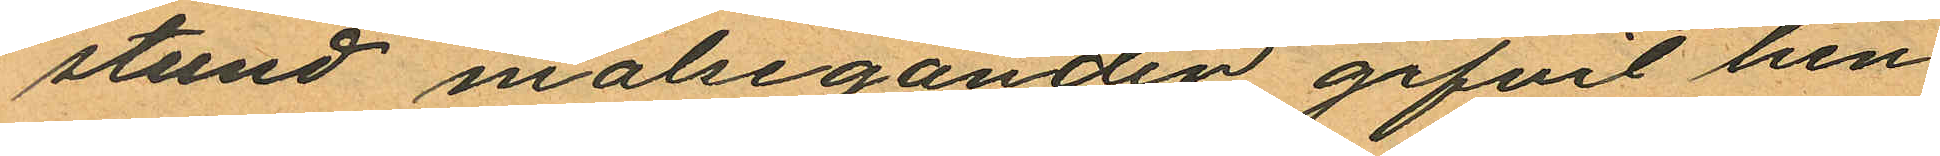stund målseganden gifvit hen¬
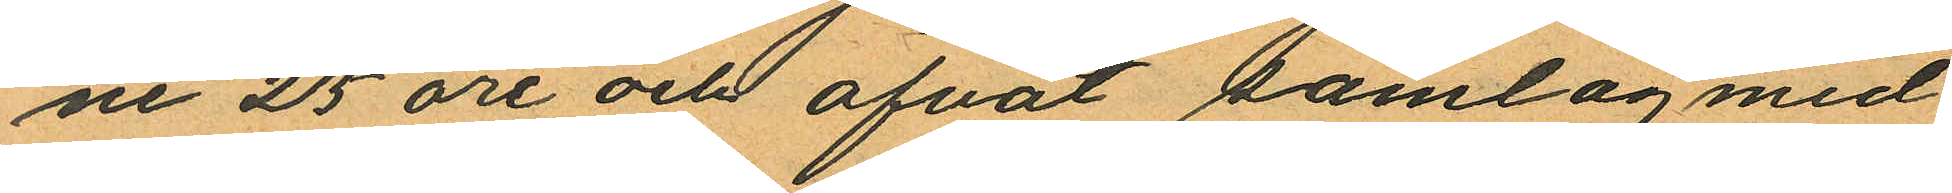ne 25 öre och öfvat samlag med
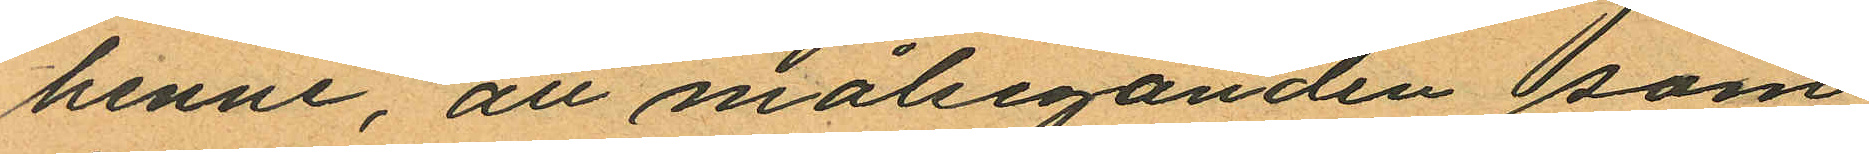henne, att målseganden som
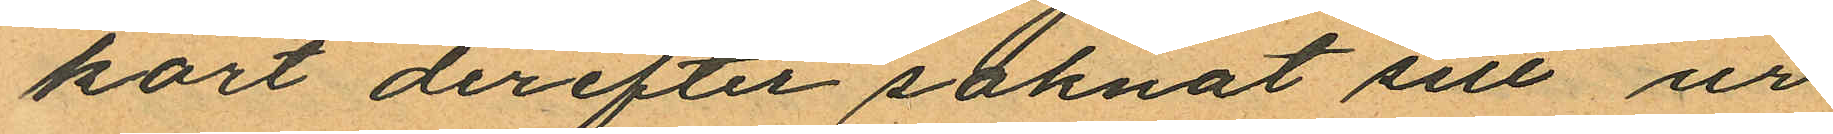kort derefter saknat sitt ur
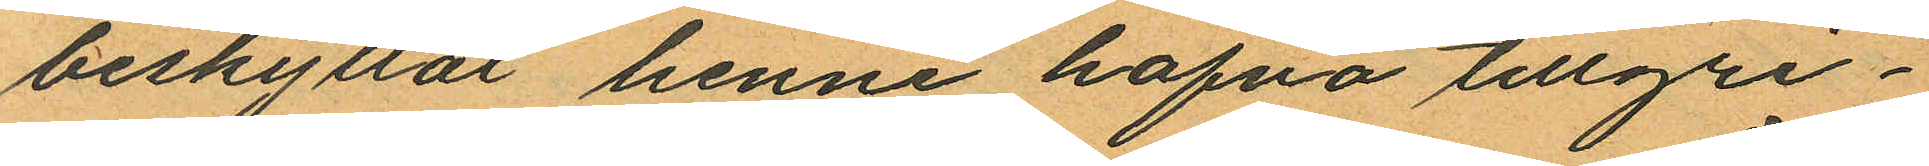beskyllat henne hafva tillgri¬
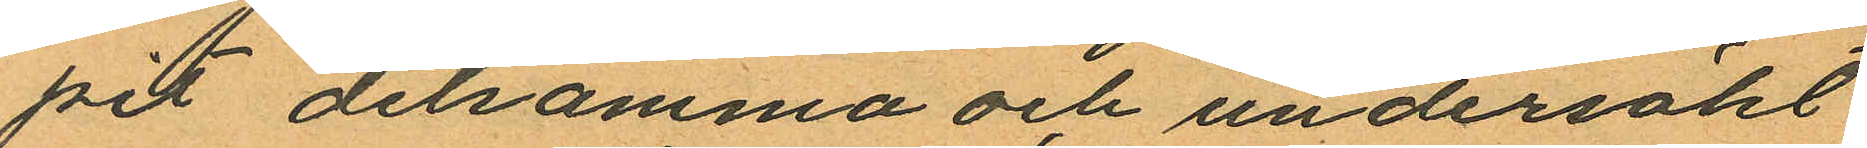pit detsamma och undersökt
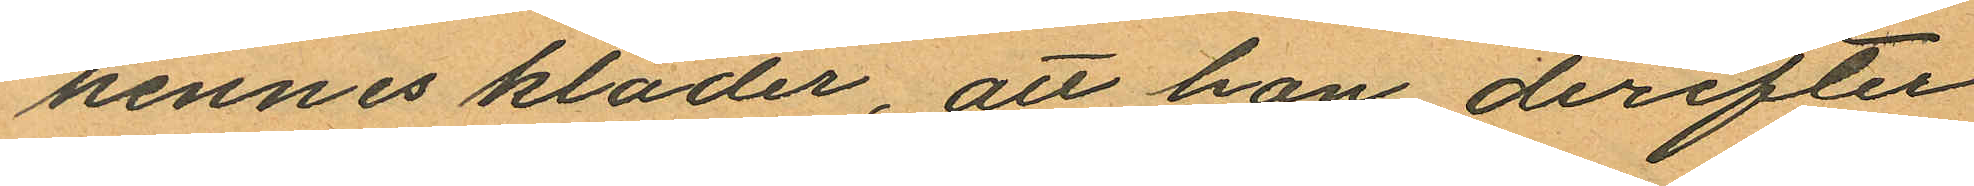hennes kläder, att hon derefter
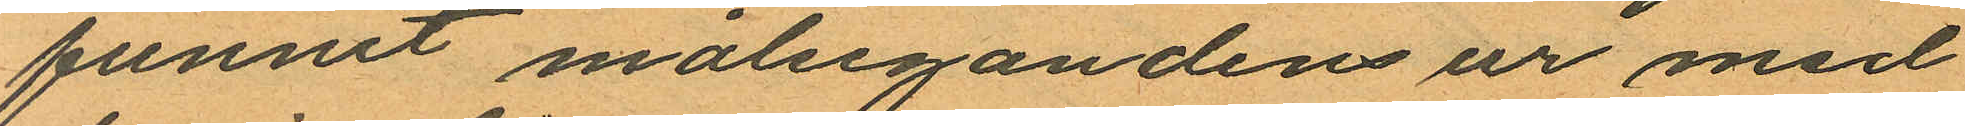funnit målsegandens ur med
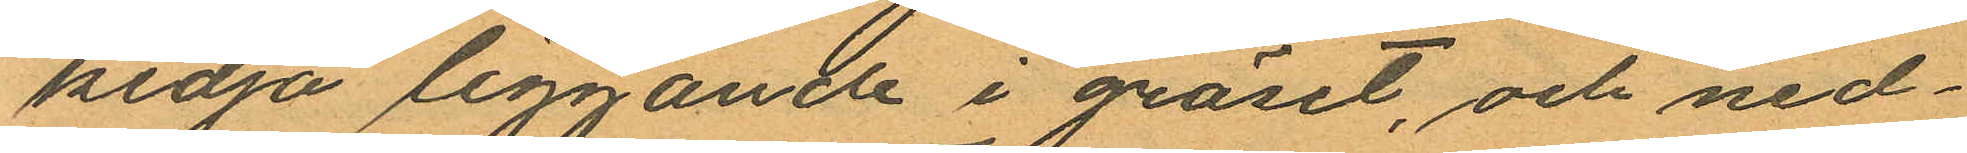kedja liggande i gräset, och ned¬
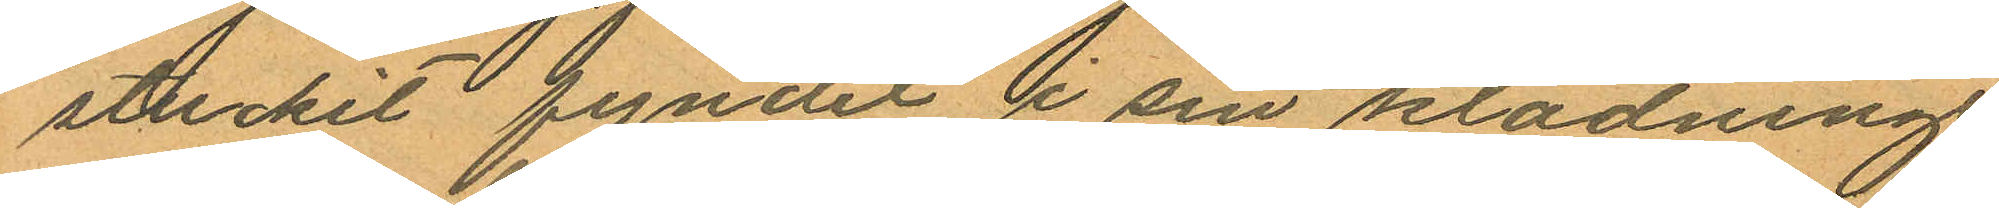stuckit fyndet i sin klädnings
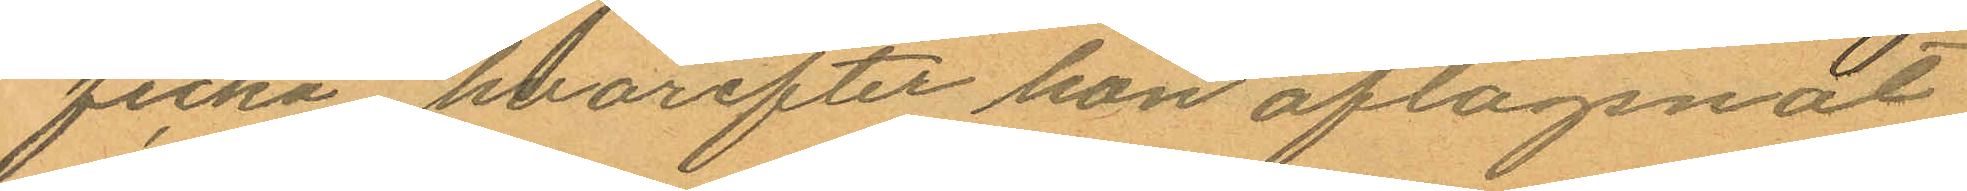ficka hvarefter hon aflägsnat
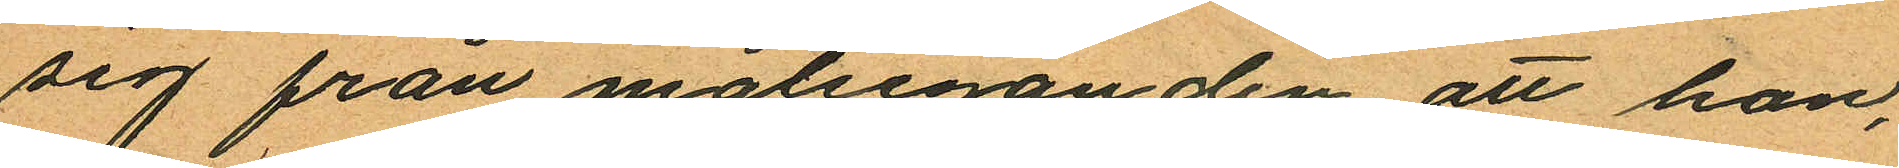sig från målseganden att hon,
